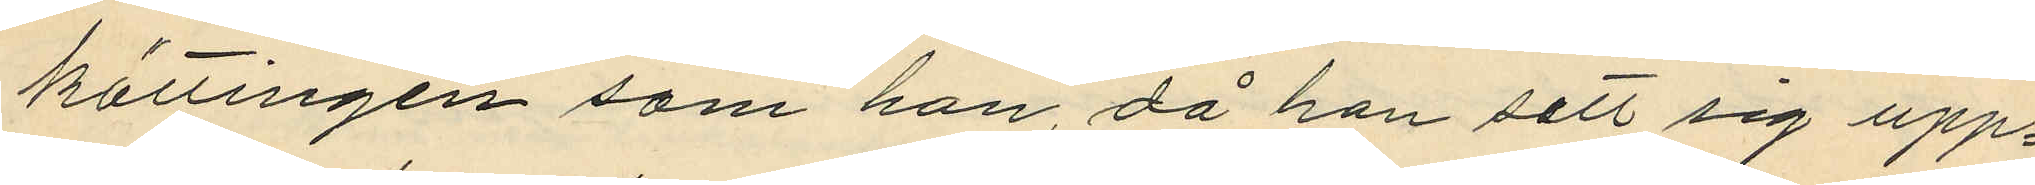kättingen som han, då han sett sig upp¬
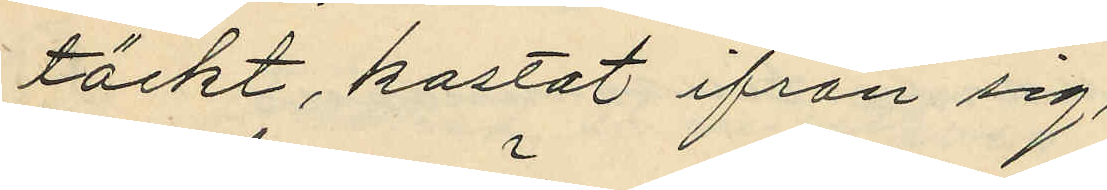täckt, kastat ifrån sig;
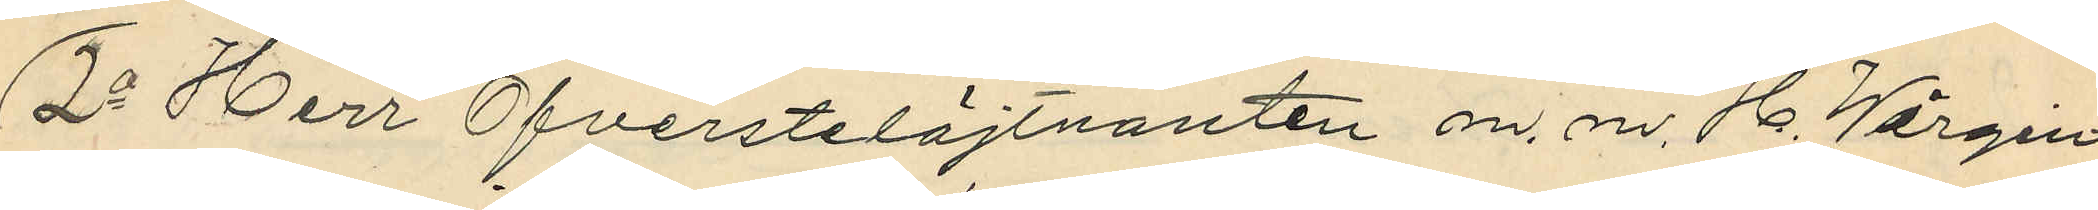2o Herr Öfverstelöjtnanten m. m. H. Wirgin
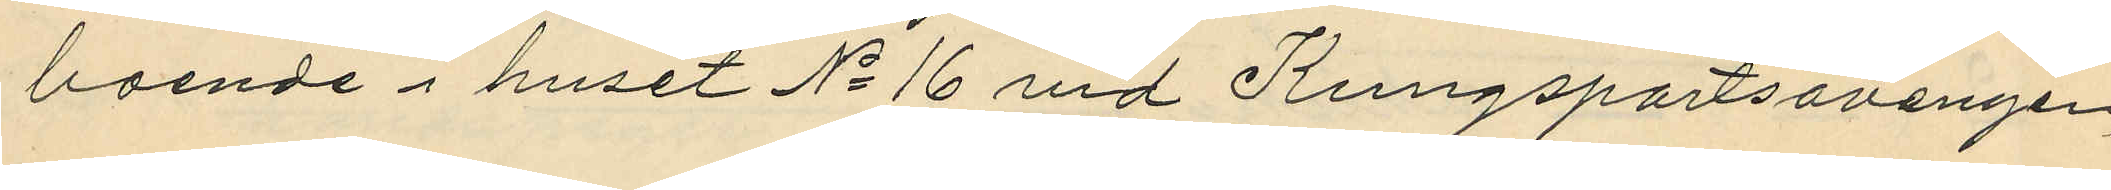boende i huset No 16 vid Kungsportsavenyen
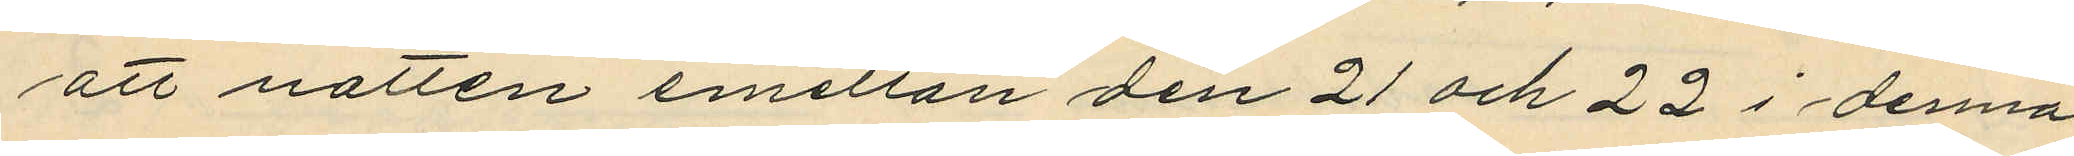att natten emellan den 21 och 22 i denna
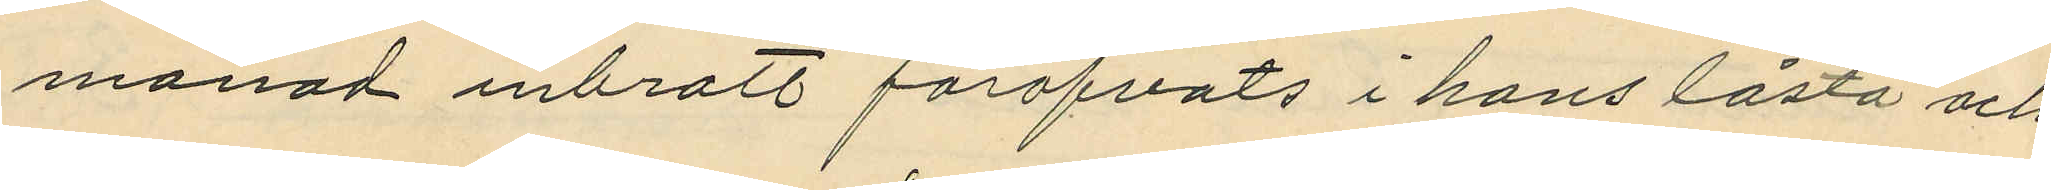månad inbrott föröfvats i hans låsta och
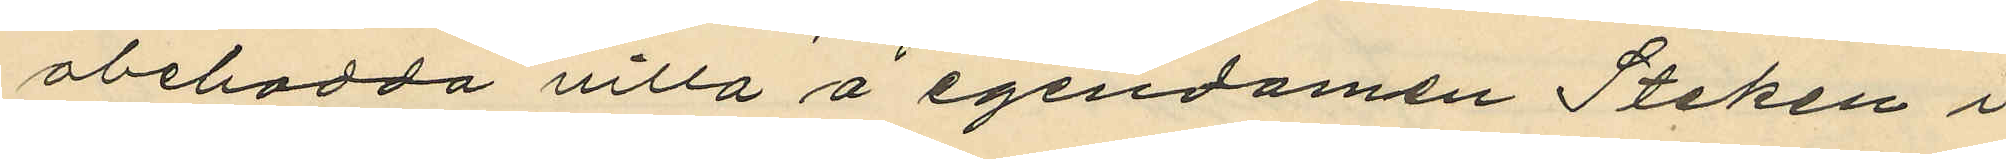obebodda villa å egendomen Steken i
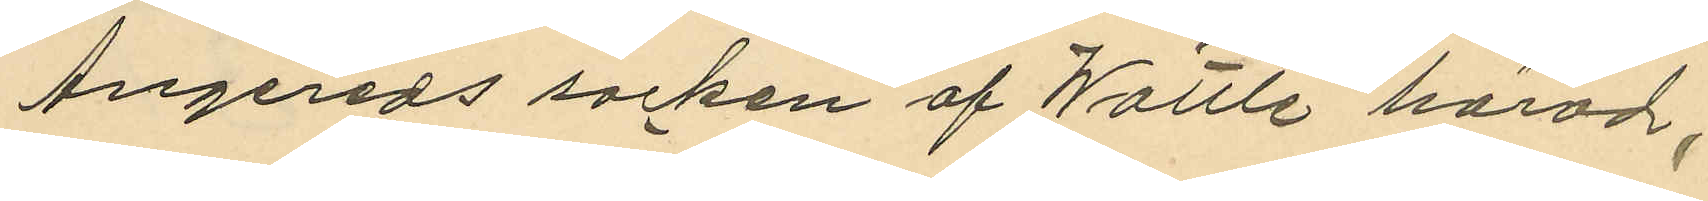Angereds socken af Wättle härad;
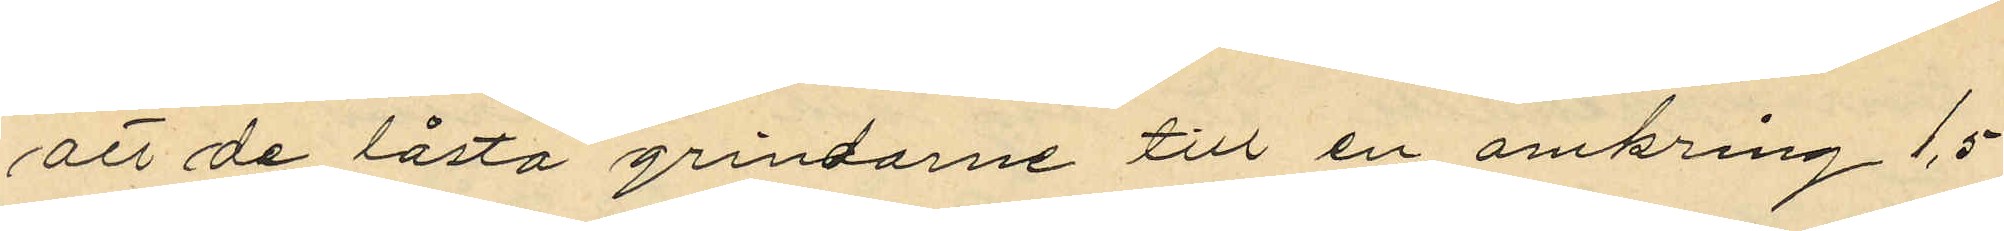att de låsta grindarne till en omkring 1,5
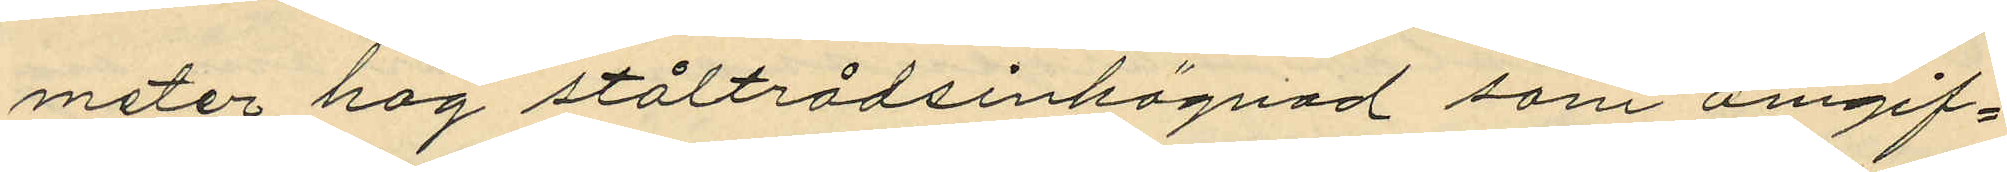meter hög ståltrådsinhägnad som omgif¬
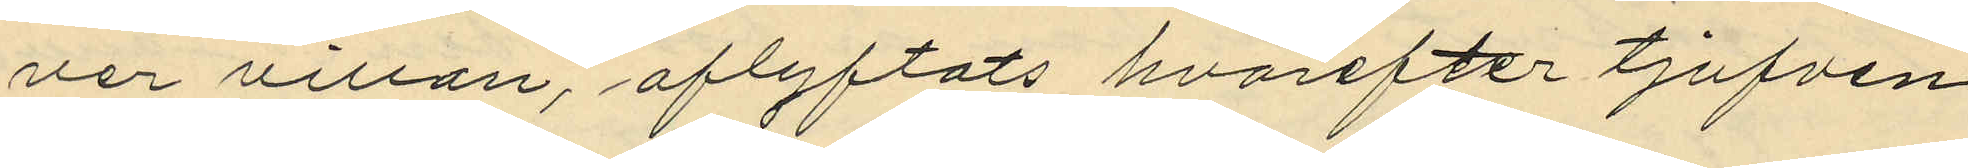ver villan, aflyftats hvarefter tjufven
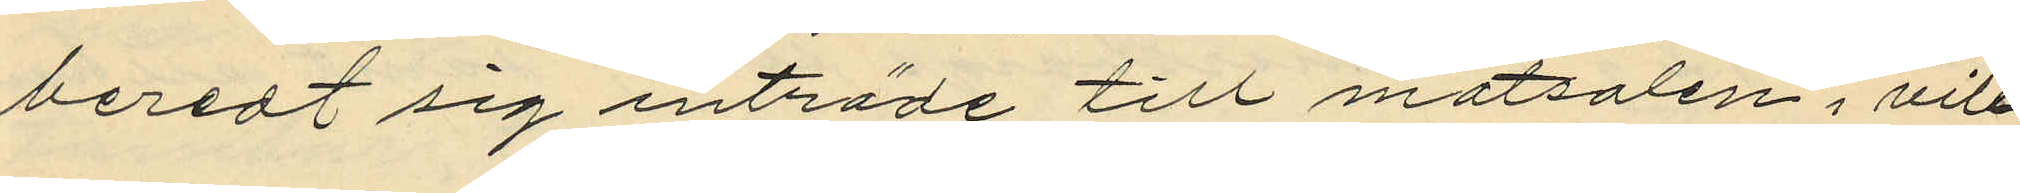beredt sig inträde till matsalen i vill¬
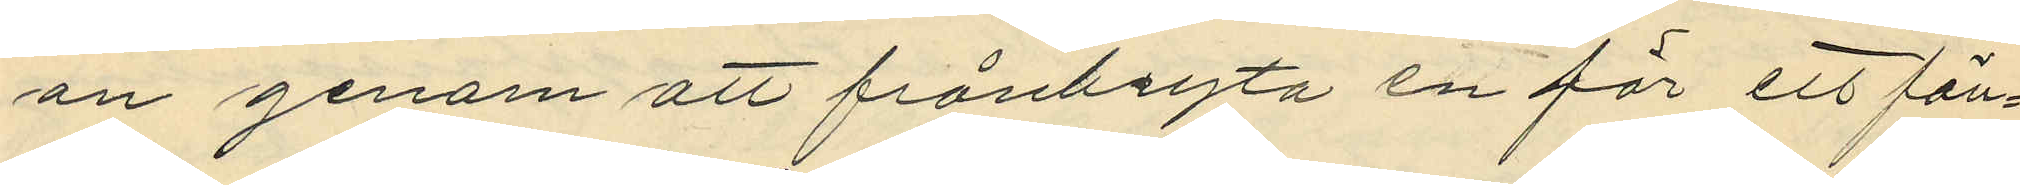an genom att frånbryta en för ett fön¬
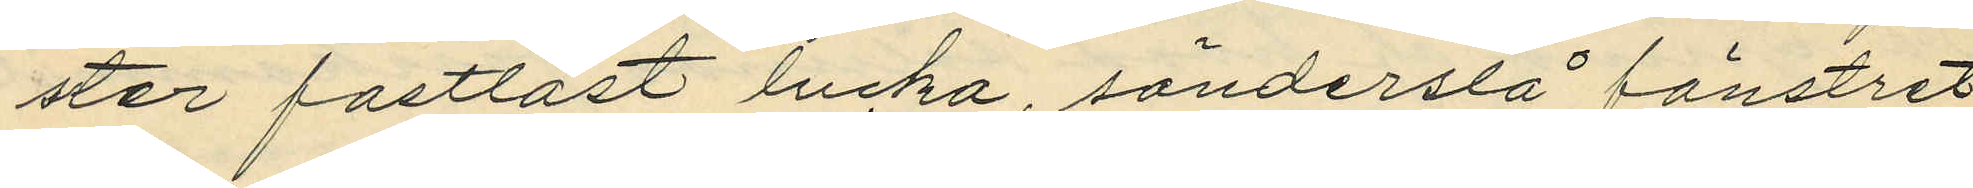ster fastlåst lucka, sönderslå fönstret
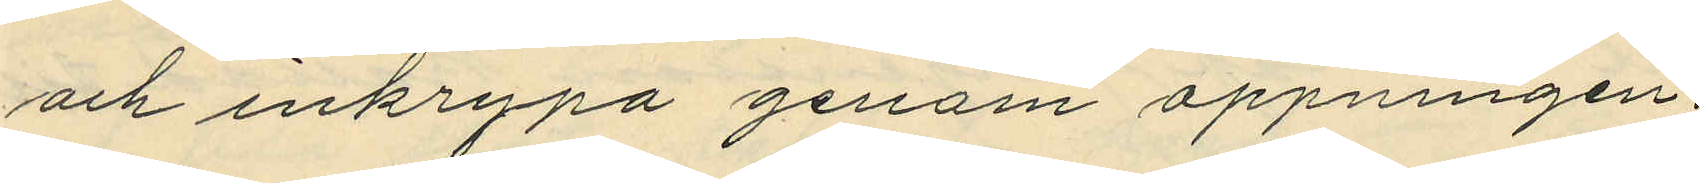och inkrypa genom öppningen;
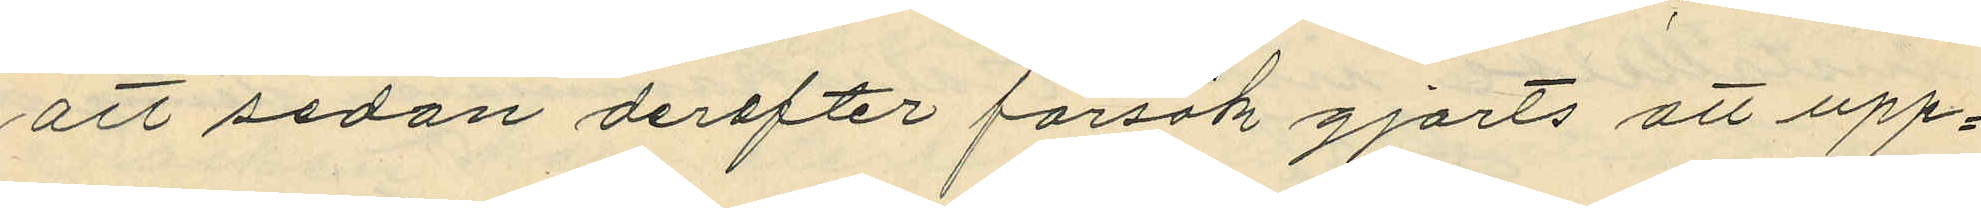att sedan derefter försök gjorts att upp¬
